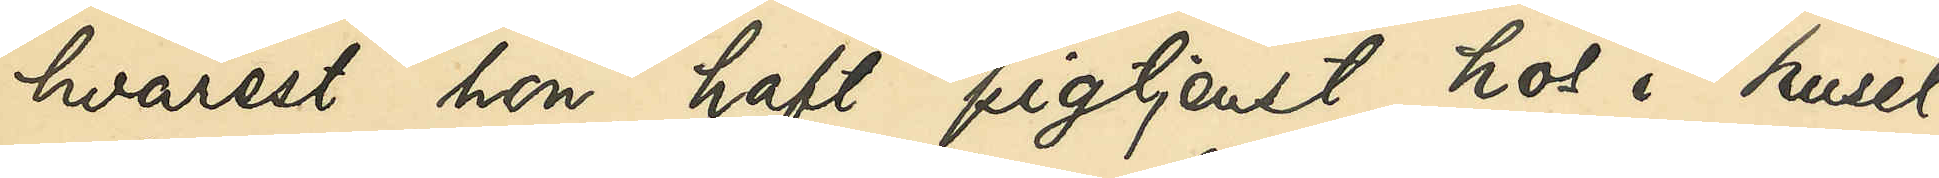hvarest hon haft pigtjenst hos i huset
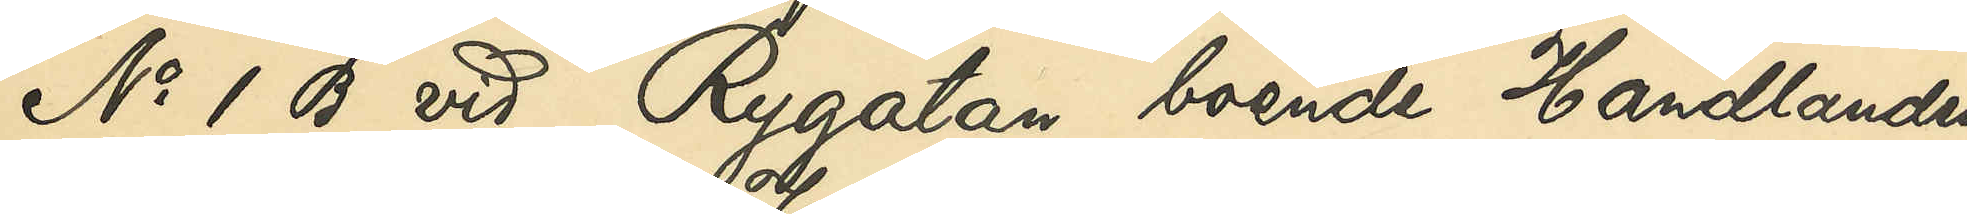No 1 B vid Rygatan boende Handlanden
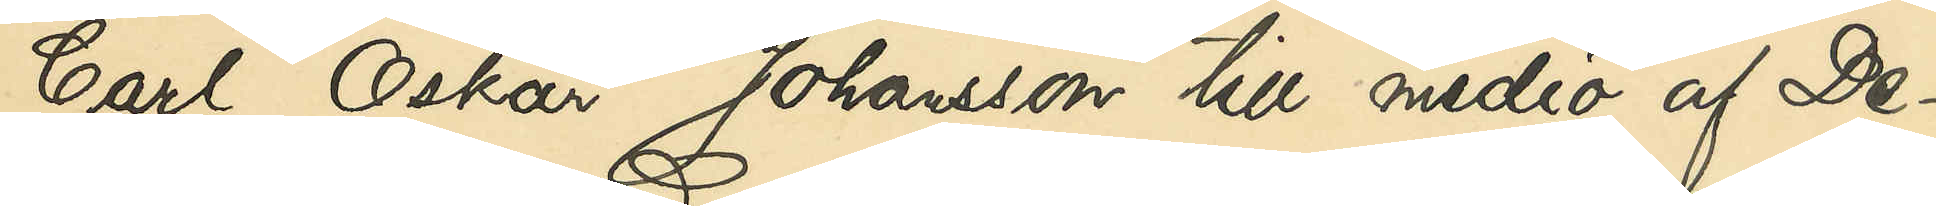Carl Oskar Johansson till medio af De¬
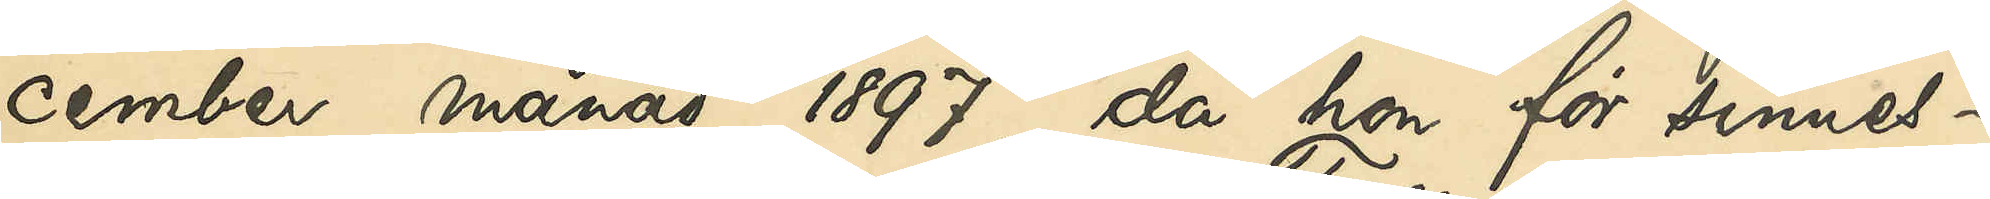cember månad 1897, då hon för sinnes¬
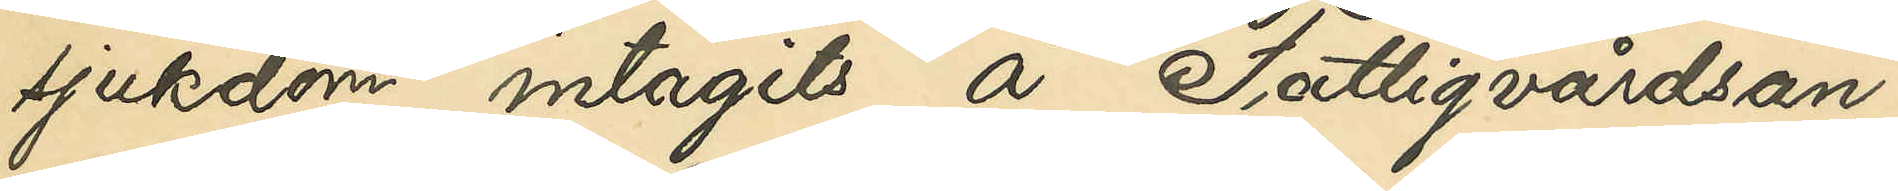sjukdom intagits å Fattigvårdsan¬
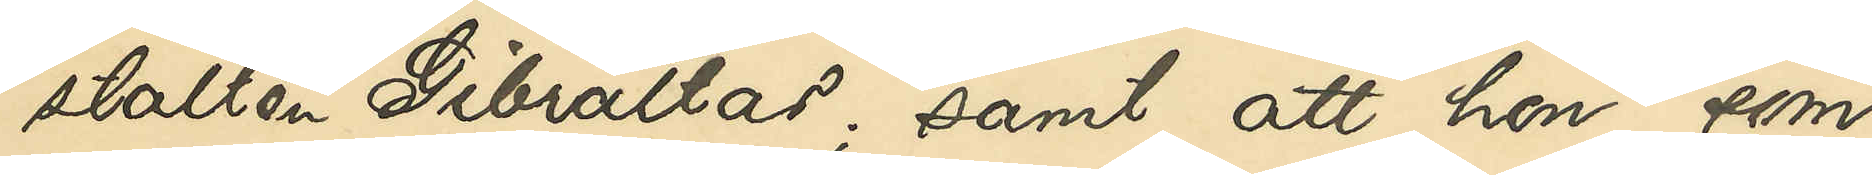stalten Gibraltar; samt att hon, som
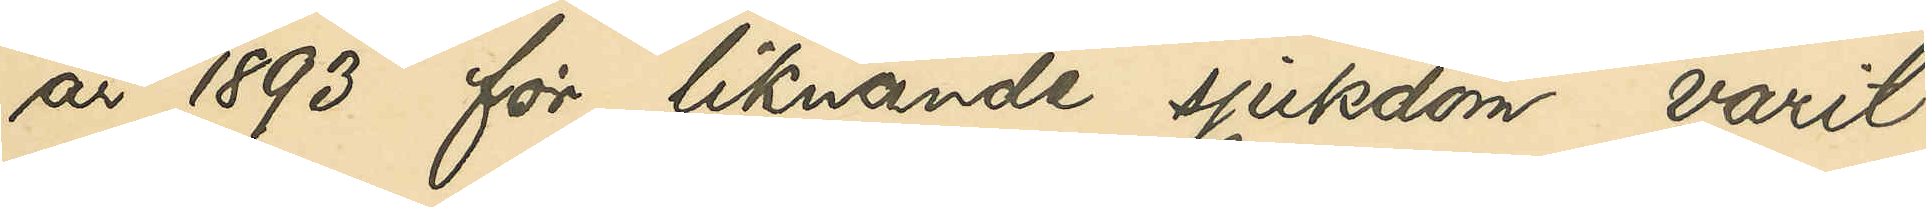år 1893 för liknande sjukdom varit
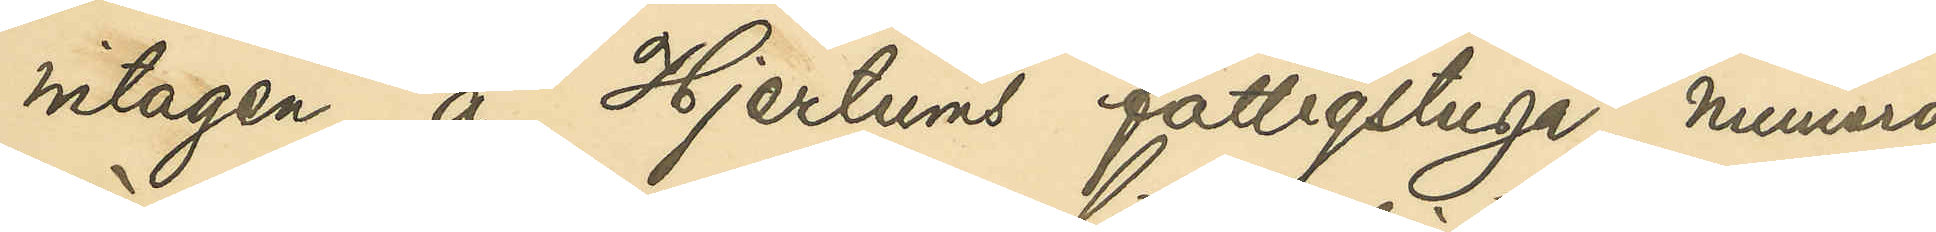intagen å Hjertums fattigstuga, numera
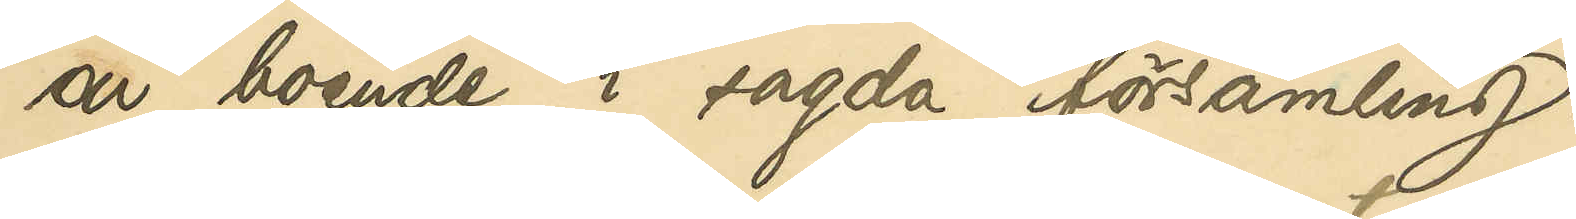är boende i sagda församling.
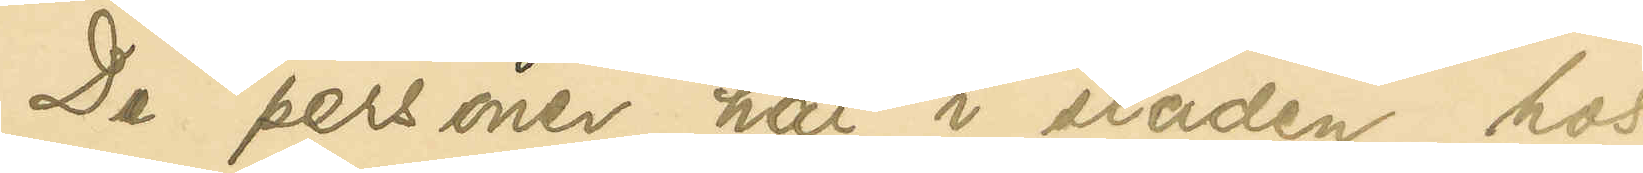De personer här i staden, hos
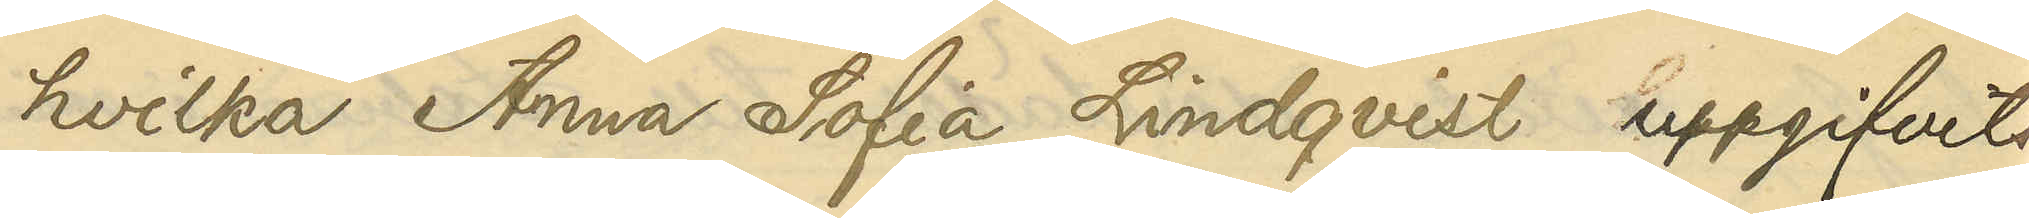hvilka Anna Sofia Lindqvist uppgifvits
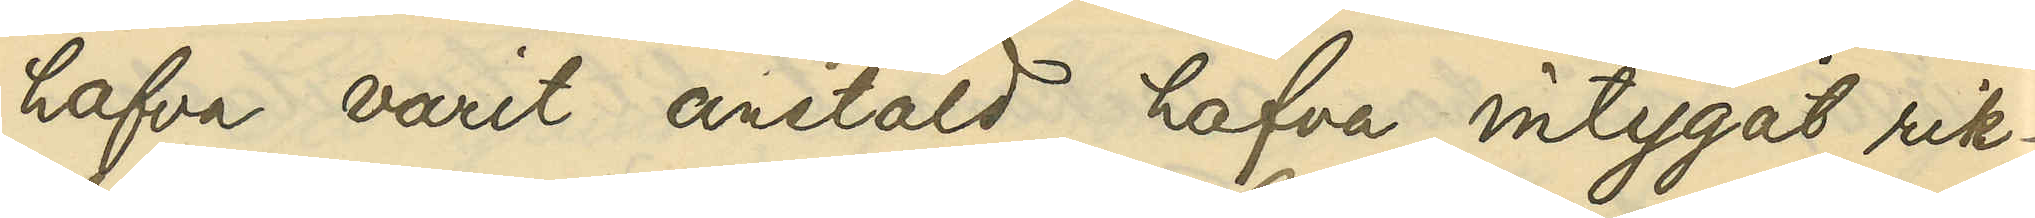hafva varit anstäld hafva intygat rik¬
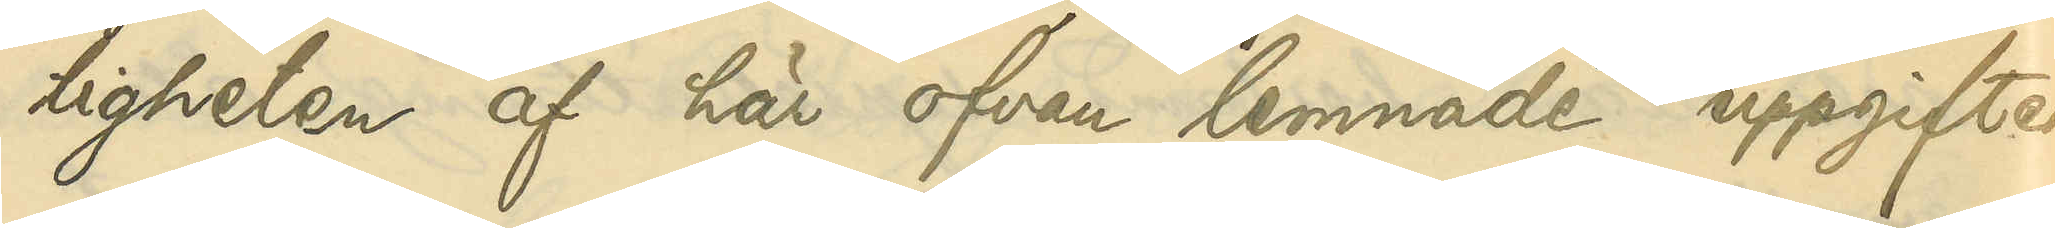tigheten af här ofvan lemnade uppgifter.
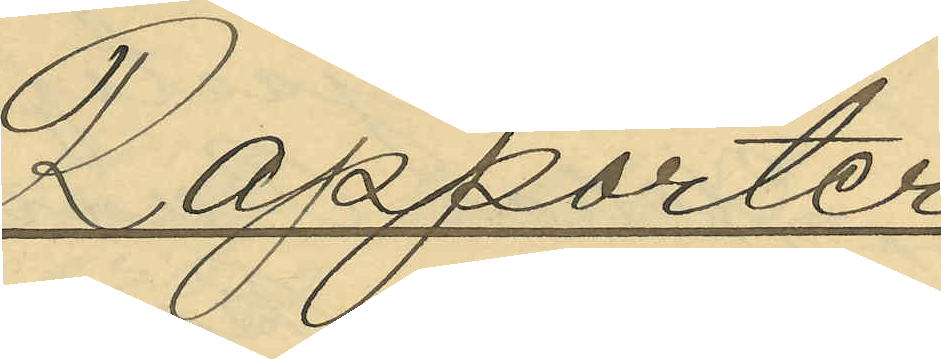Rapport
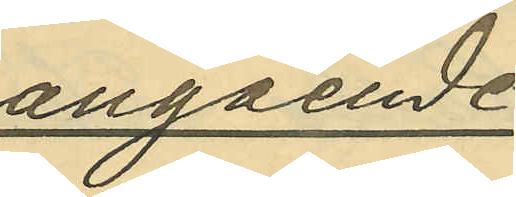angående
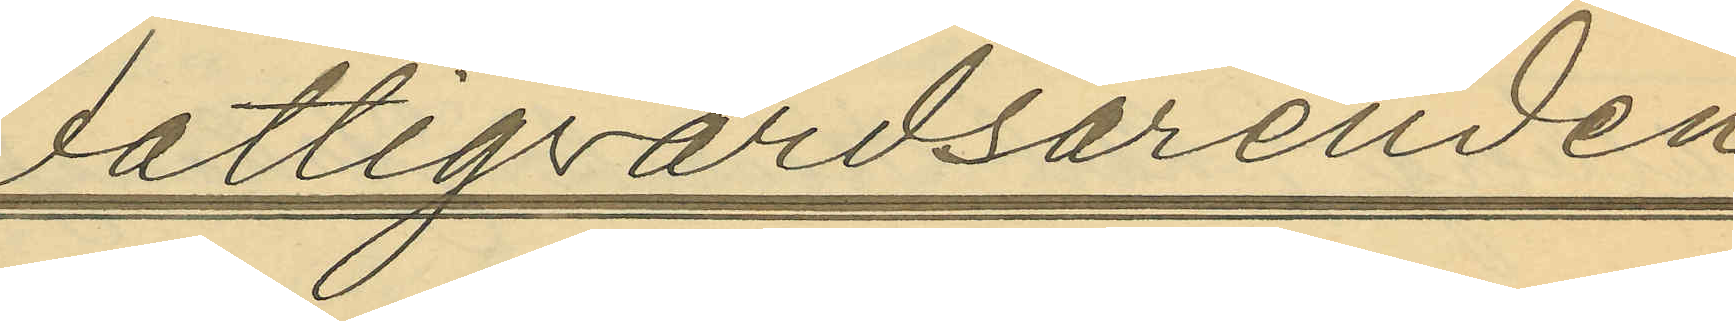Fattigvårdsärenden
